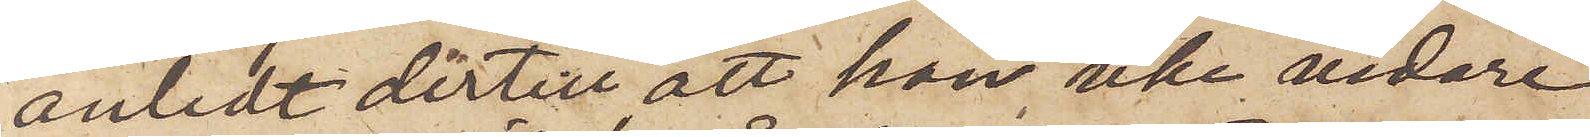anledt dertill, att han icke vidare
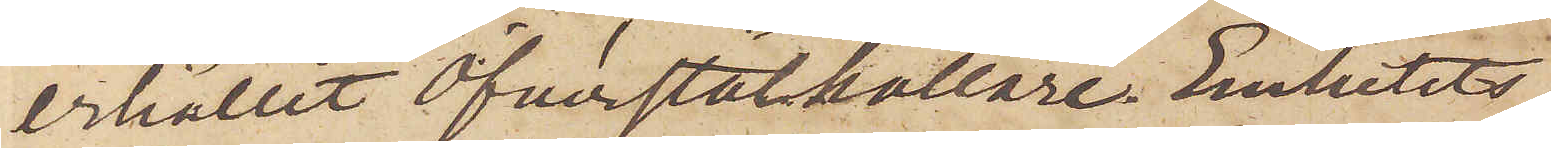erhållit öfverståthållare Embetets
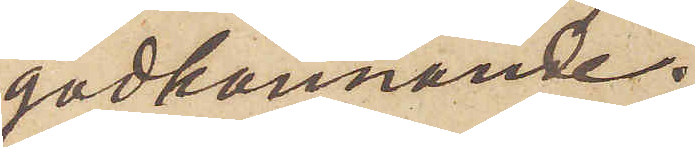godkännande.
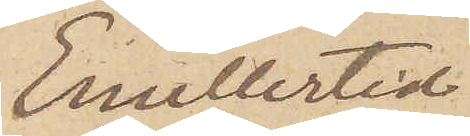Emellertid
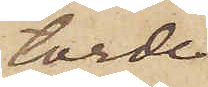torde
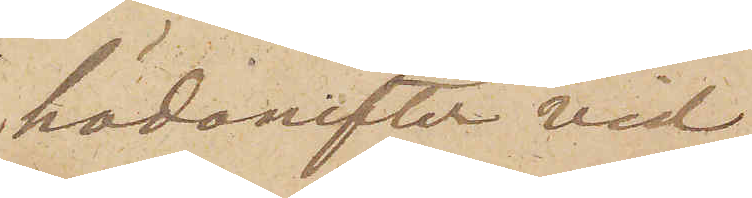hädanefter vid
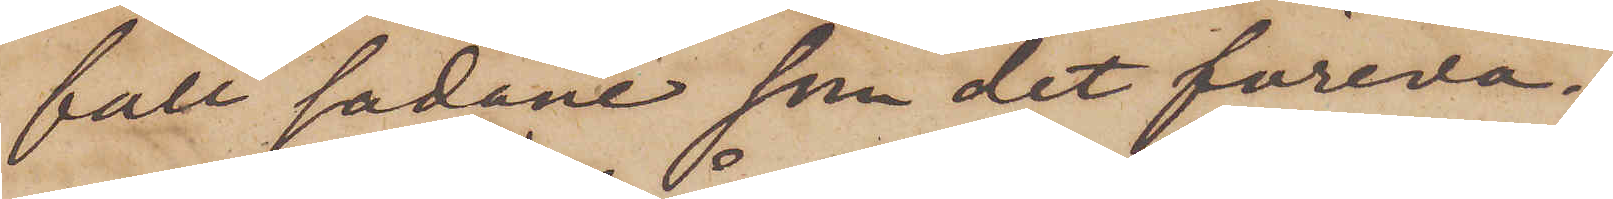fall sådane som det föreva¬
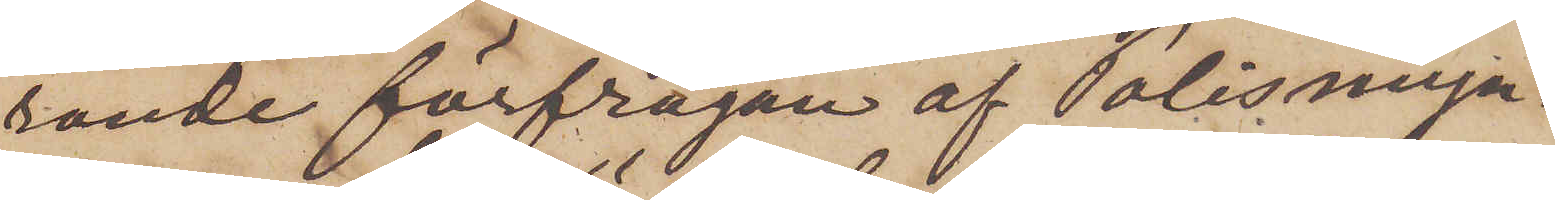rande förfrågan af Polismyn¬
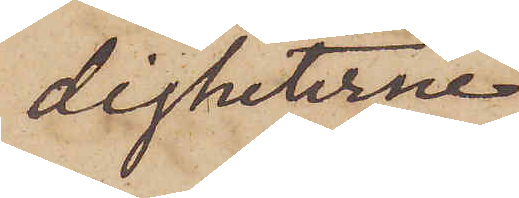digheterne
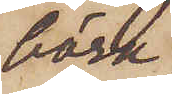böra
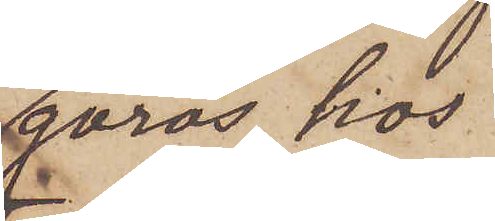göras hos
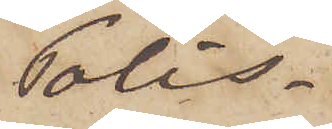Polis¬
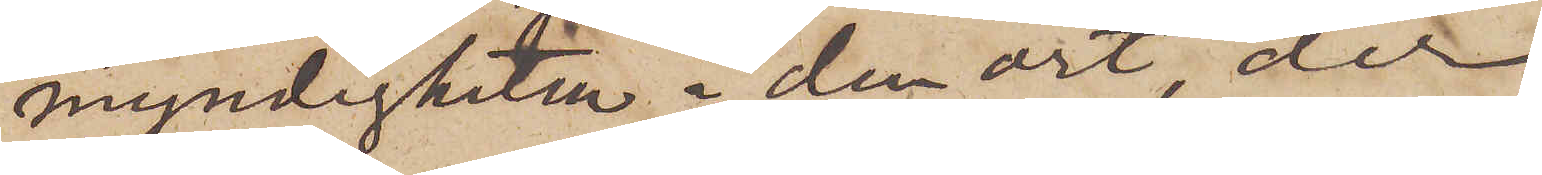myndigheten i den ort der
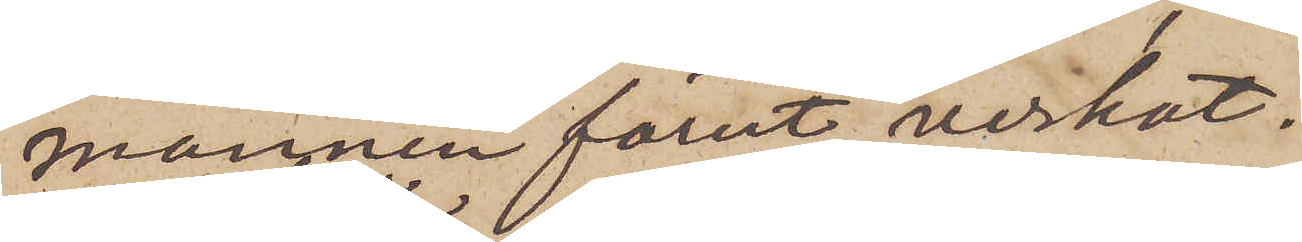mannen förut verkat.
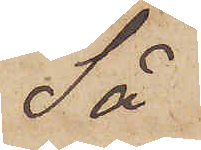Så
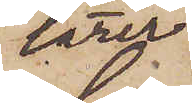lärer
